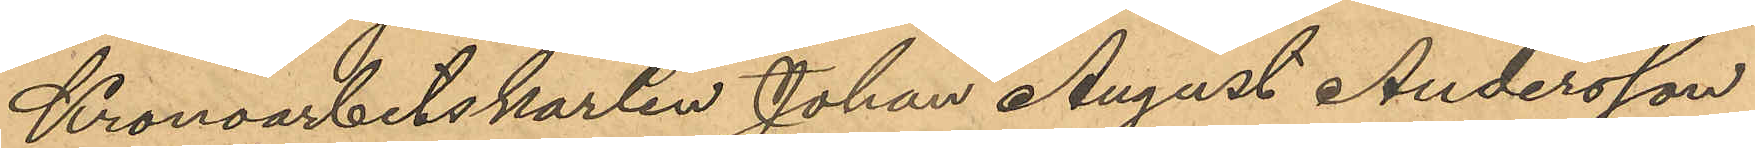Kronoarbetskarlen Johan August Andersson
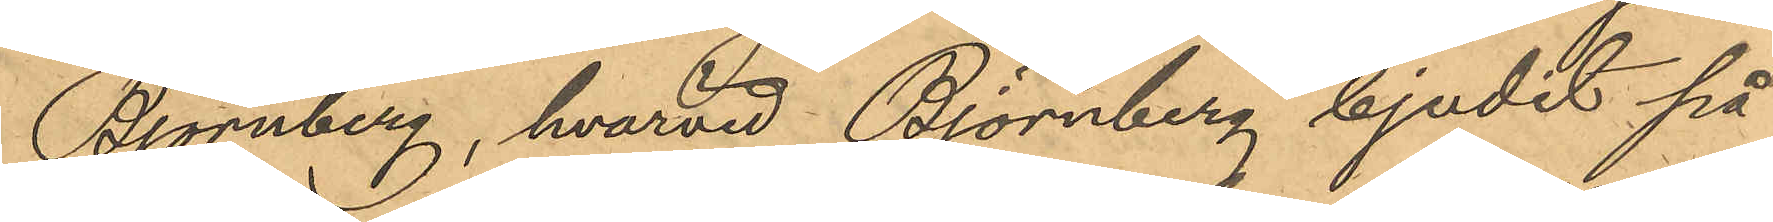Björnberg, hvarvid Björnberg bjudit på
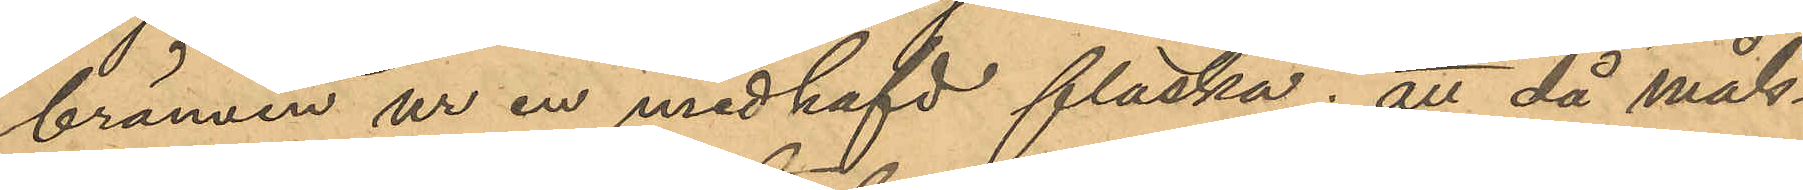brännvin ur en medhafd flaska; att då måls¬
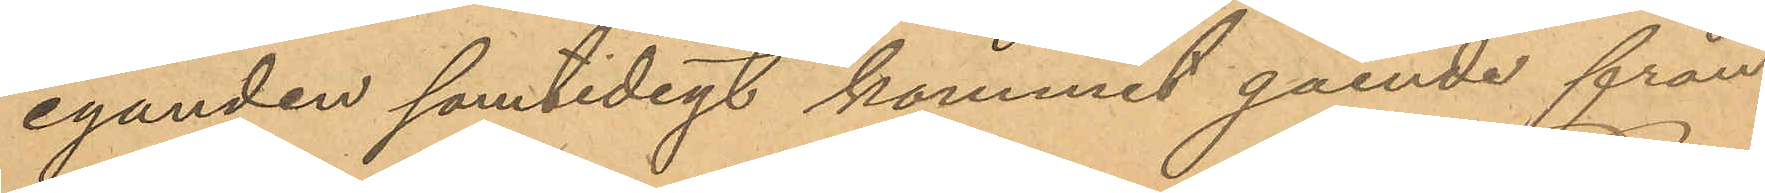eganden samtidigt kommit gående från
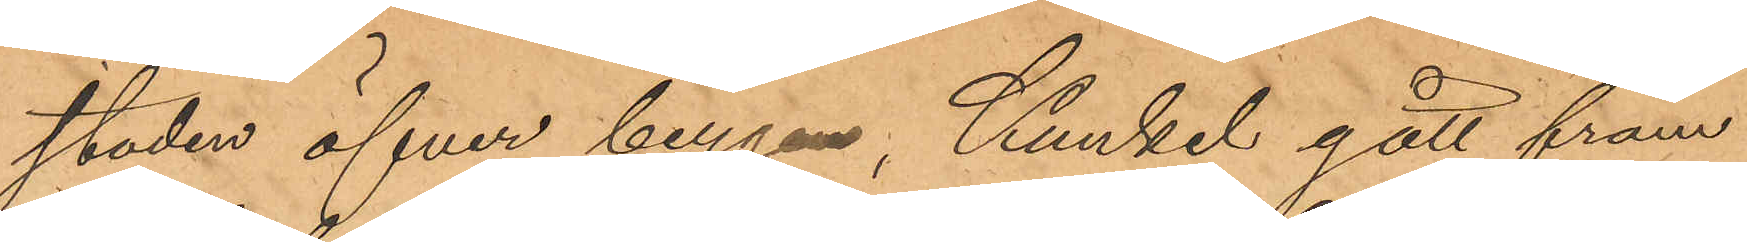staden öfver bergen, Kunkel gått fram
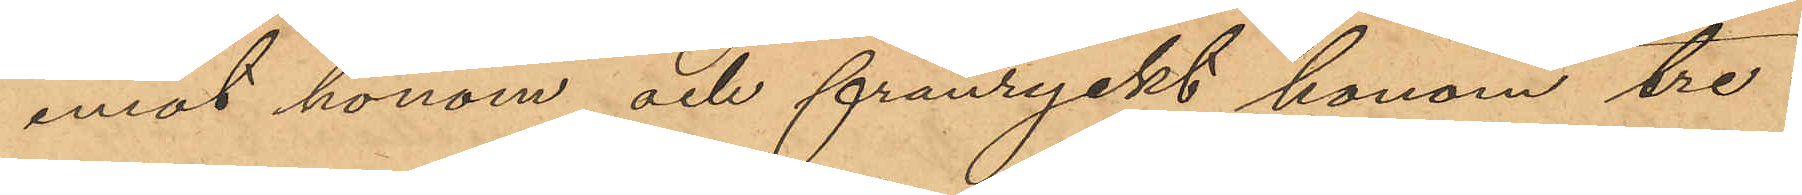emot honom och frånryckt honom tre
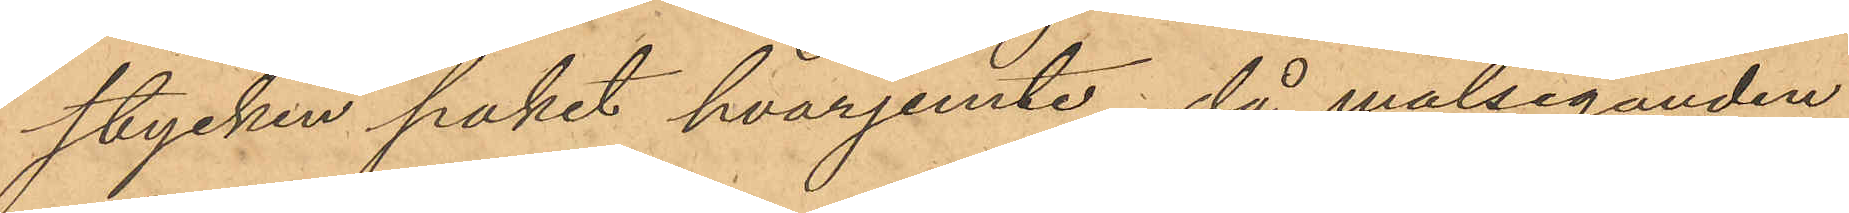stycken paket hvarjemte, då målseganden
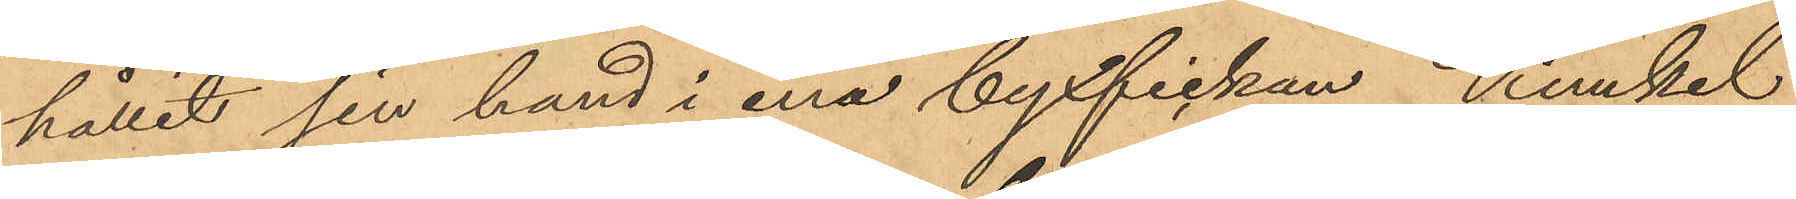hållit sin hand i ena byxfickan, Kunkel
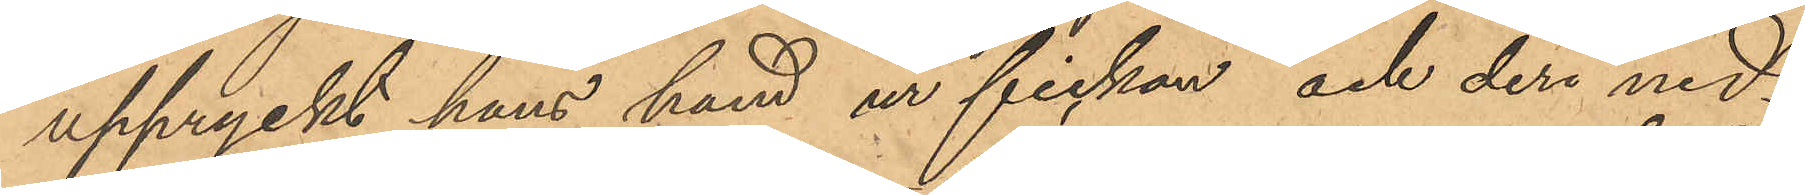uppryckt hans hand ur fickan och deri ned¬
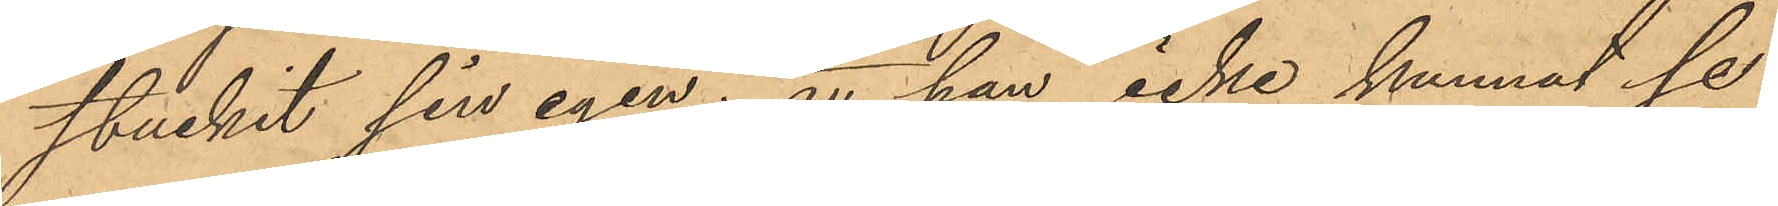stuckit sin egen; att han icke kunnat se
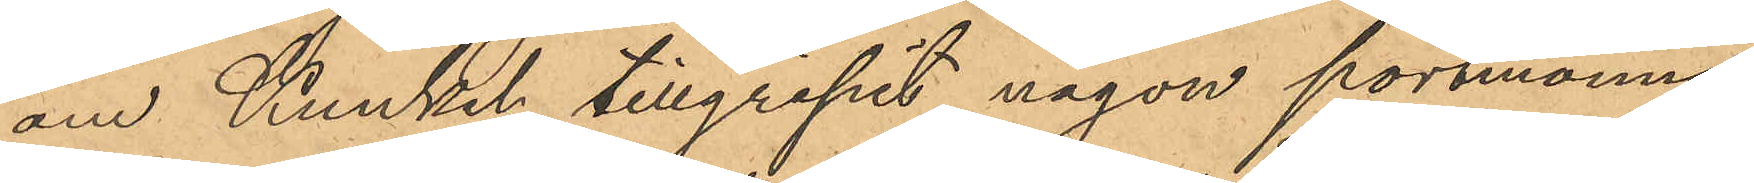om Kunkel tillgripit någon portmonnä
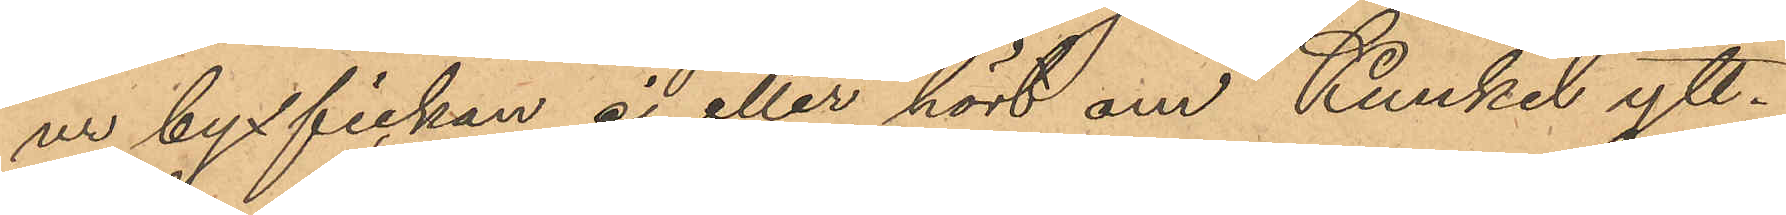ur byxfickan ej eller hört om Kunkel ytt¬
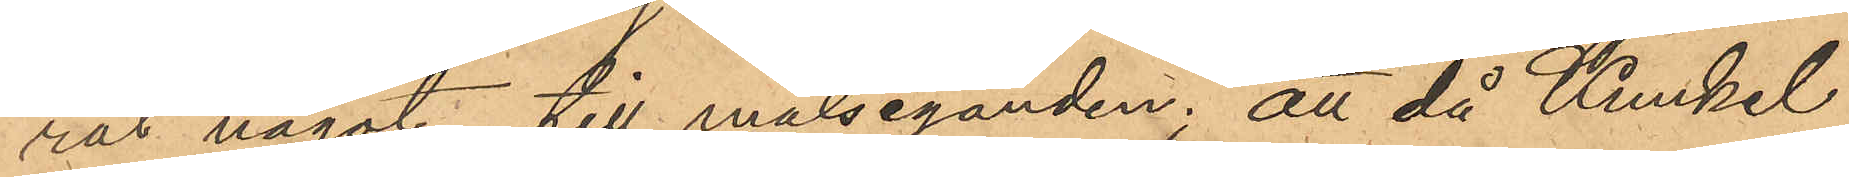rat något till målseganden; att då Kunkel
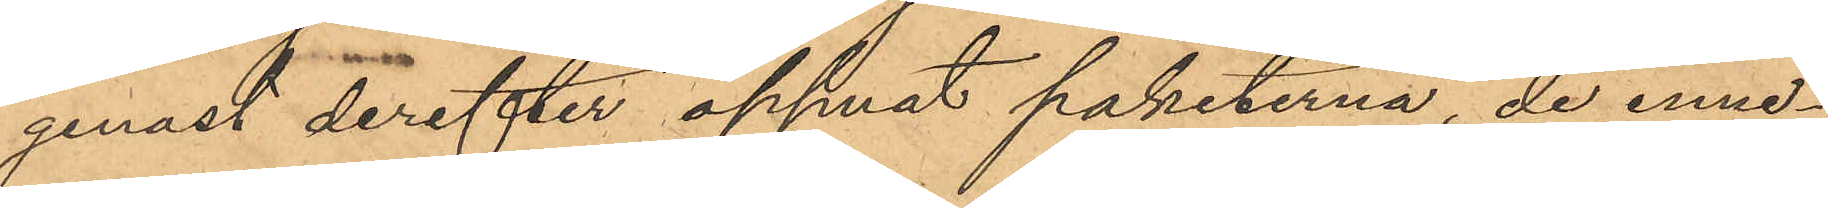genast derefter öppnat paketerna, de inne¬
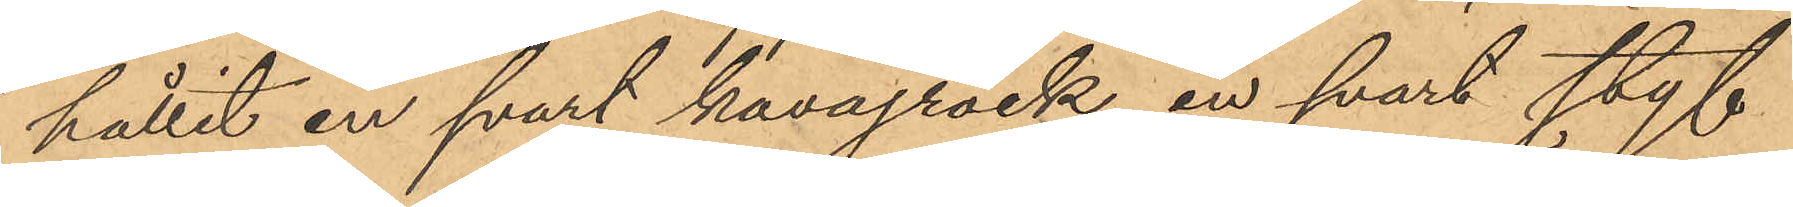hållit en svart kavajrock, en svart styf
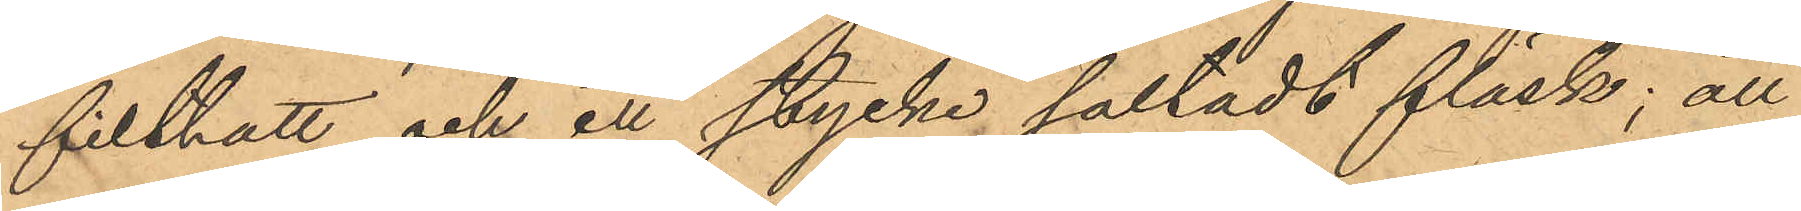filthatt och ett stycke saltadt fläsk; att
